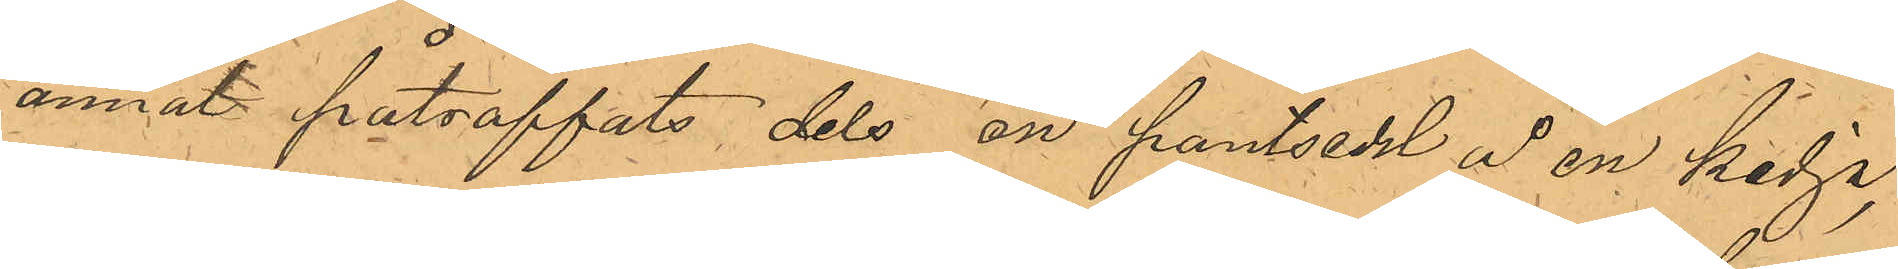annat påträffats dels en pantsedel å en kedja,
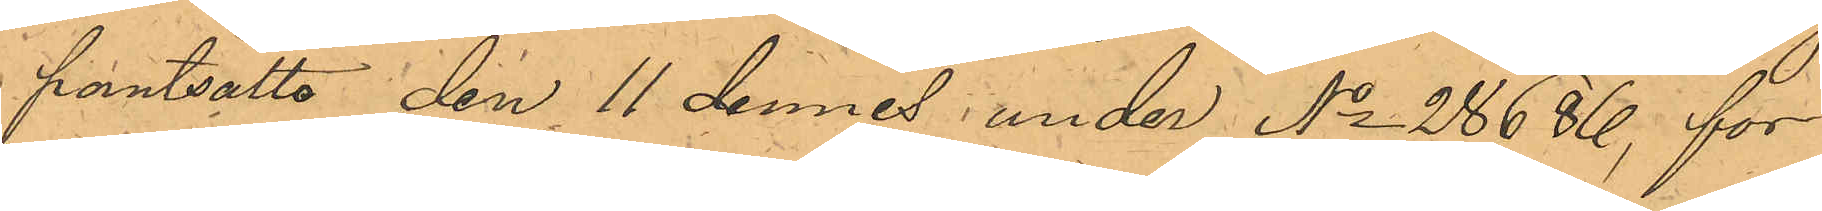pantsatta den 11 dennes under No 28686, for
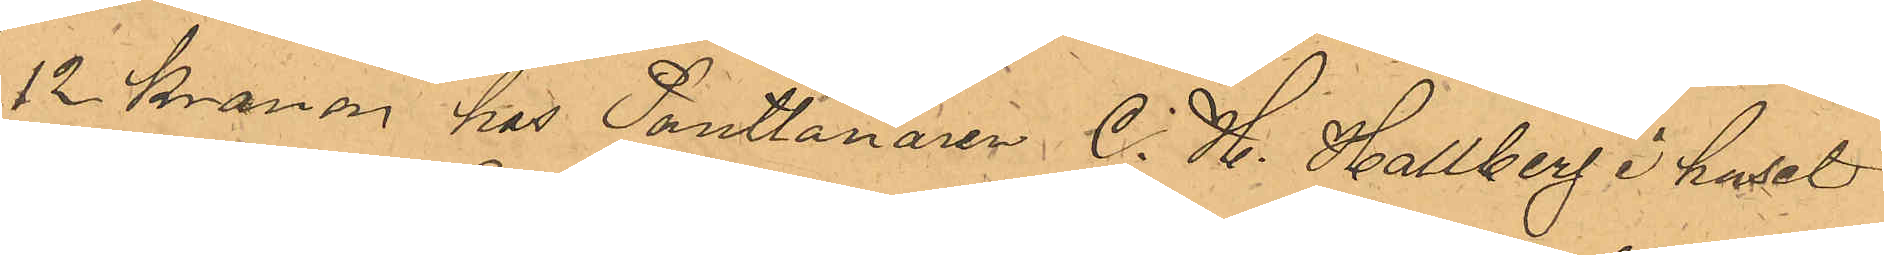12 Kronor hos Pantlånaren C. H. Hallberg i huset
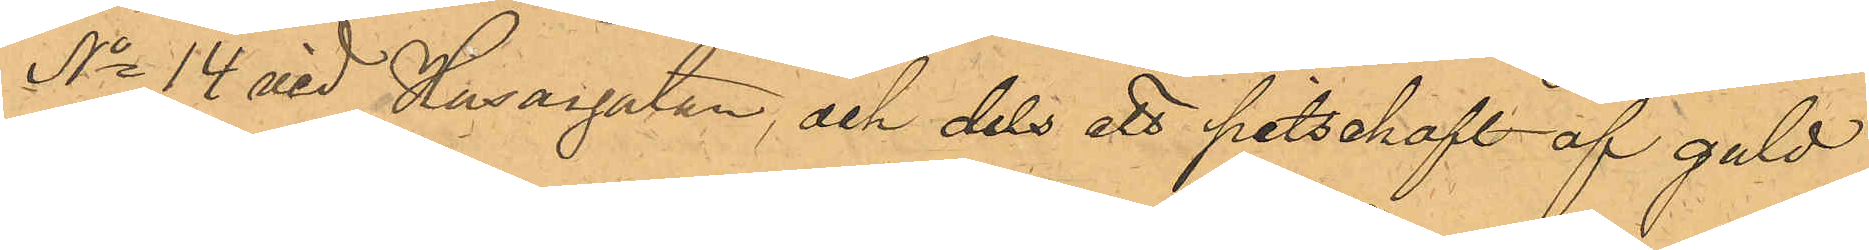No 14 vid Husargatan, och dels ett pitschaft af guld
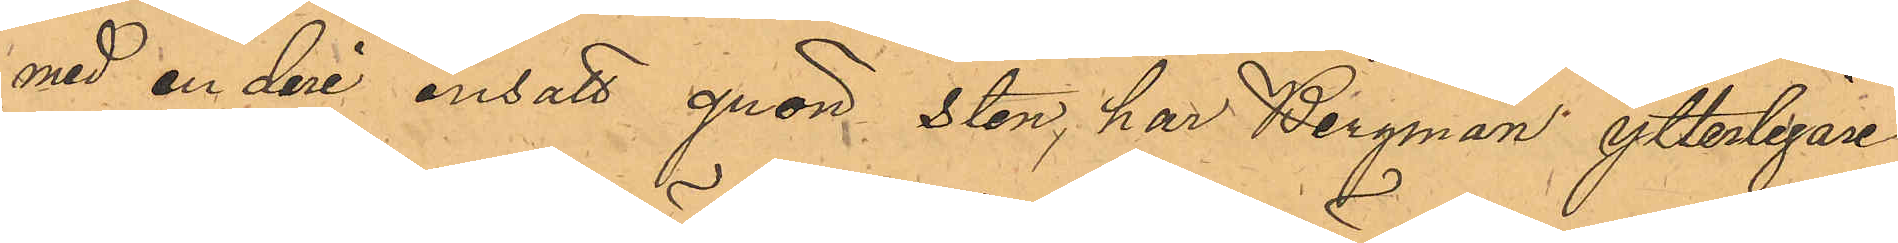med en deri insatt grön sten, har Bergman, ytterligare
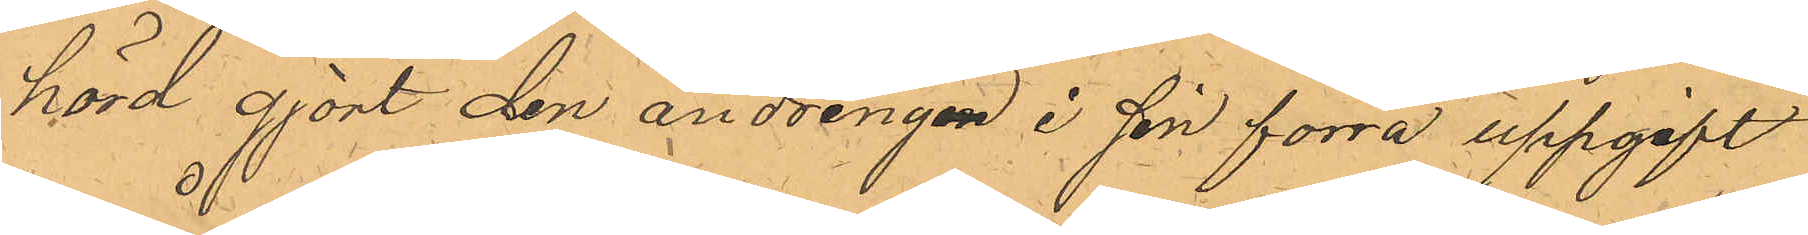hörd gjort den ändringen i sin förra uppgift
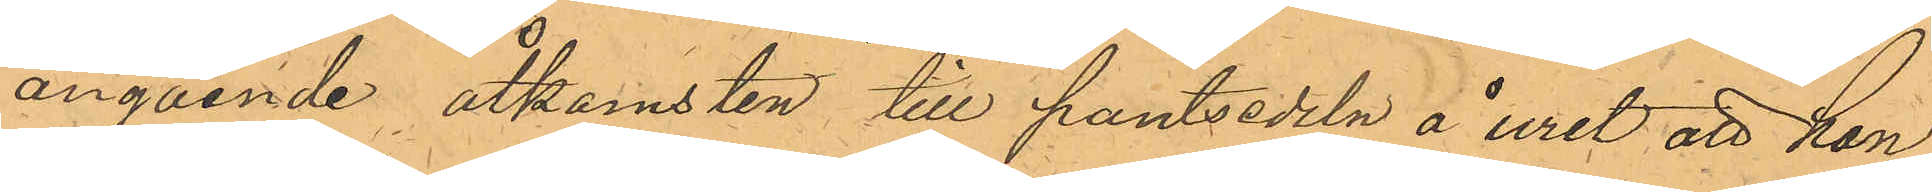angående åtkomsten till pantsedeln å uret att han
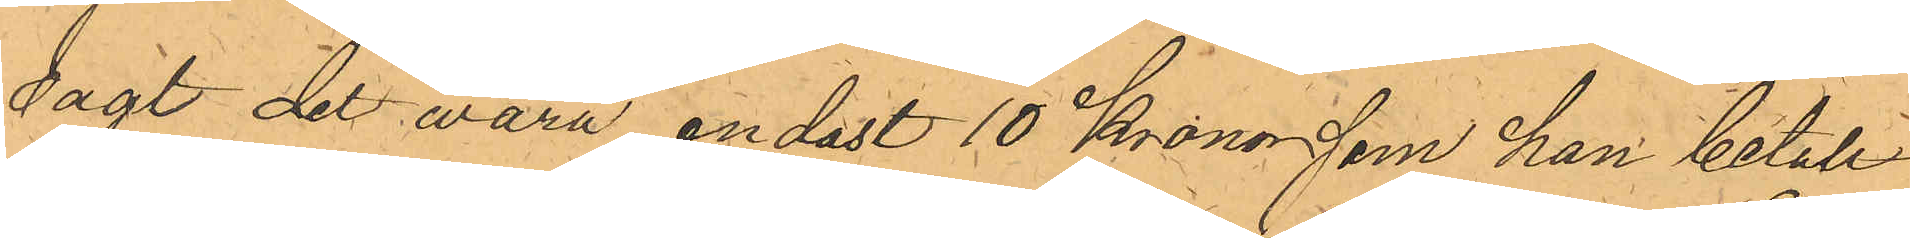sagt det wara endast 10 Kronor som han betalt
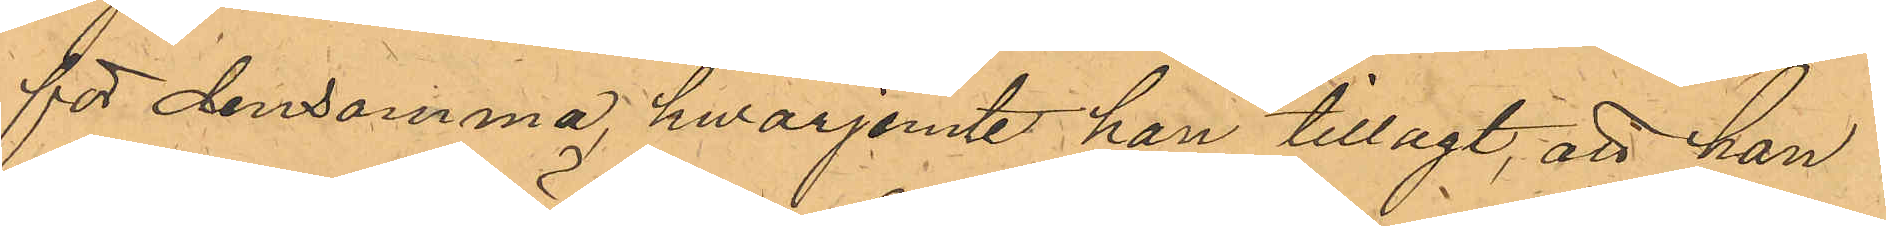för densamma, hwarjemte han tillagt, att han
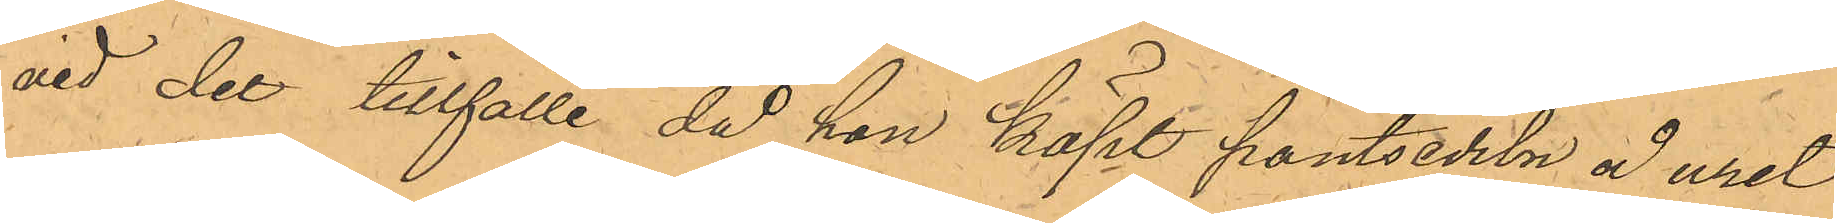vid det tillfälle då hon köpt pantsedeln å uret
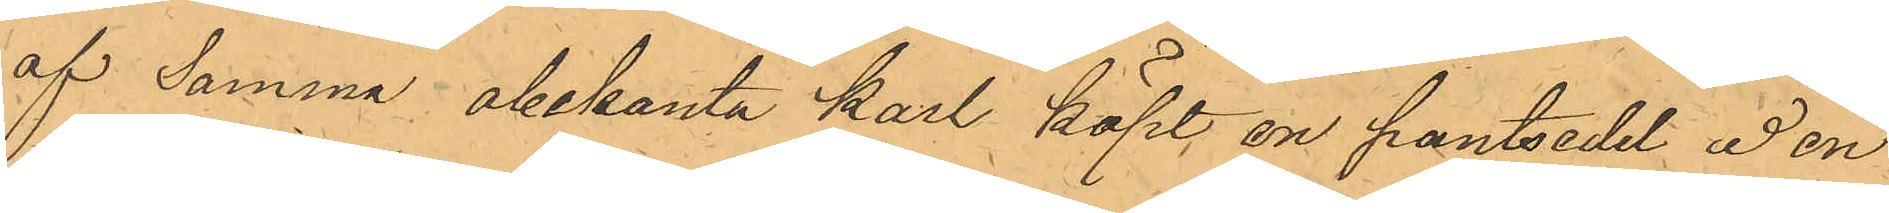af Samma obekanta karl köpt en pantsedel å en
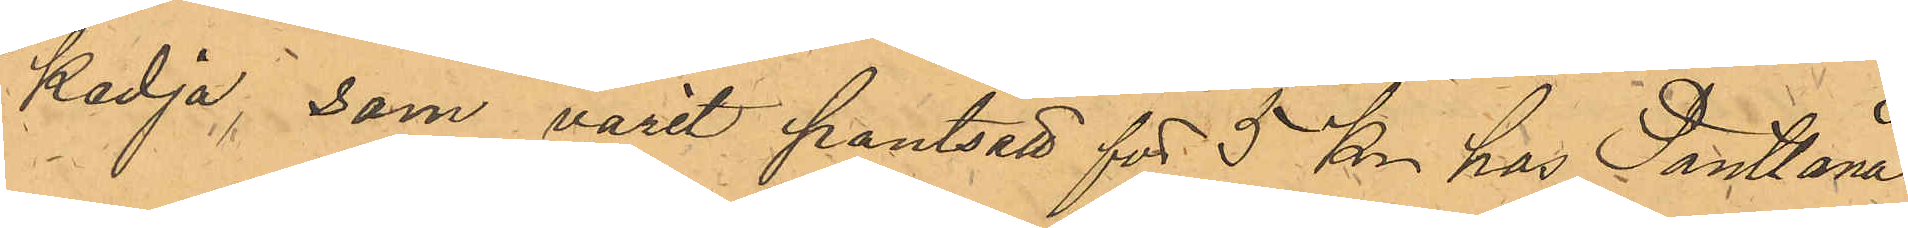kedja, som varit pantsatt för 5 Kr har Pantlåna¬
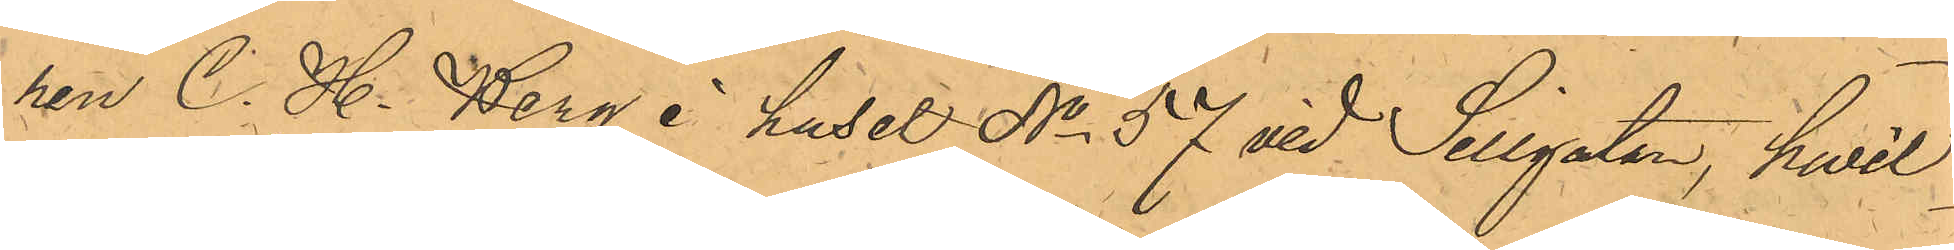ren C. H. Berg i huset No 57 vid Sillgatan, hwil¬
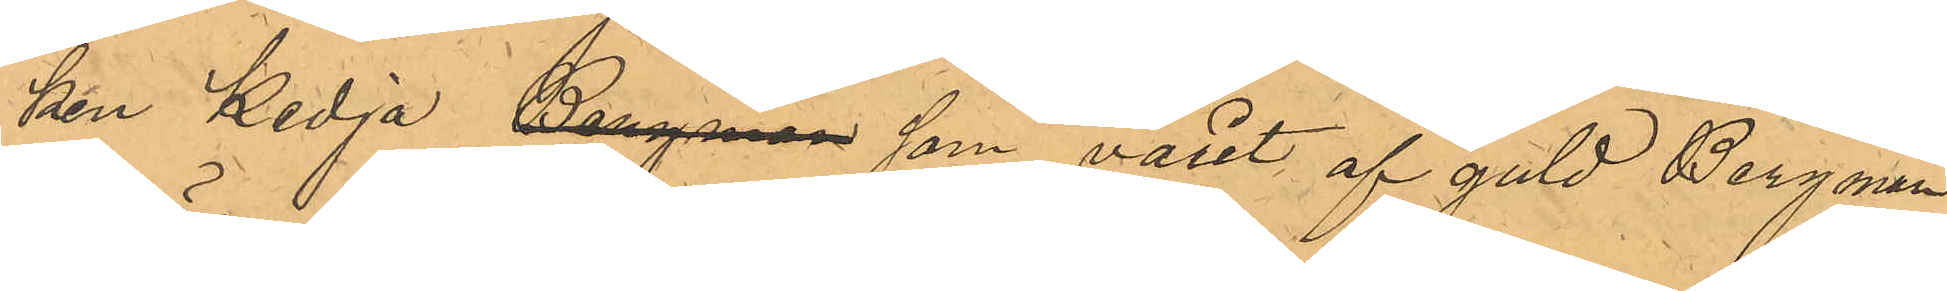ken Kedja, Bergman som varit af guld Bergman
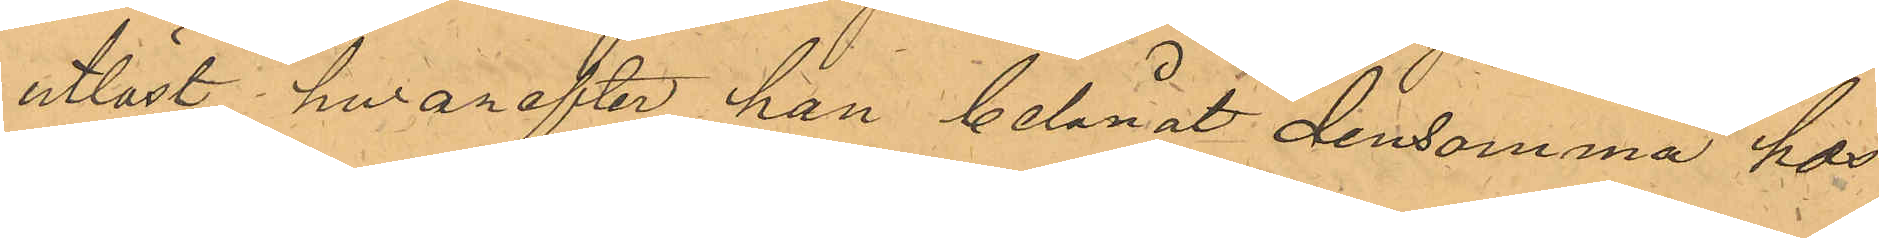utlöst, hwarefter han belånat densamma hos
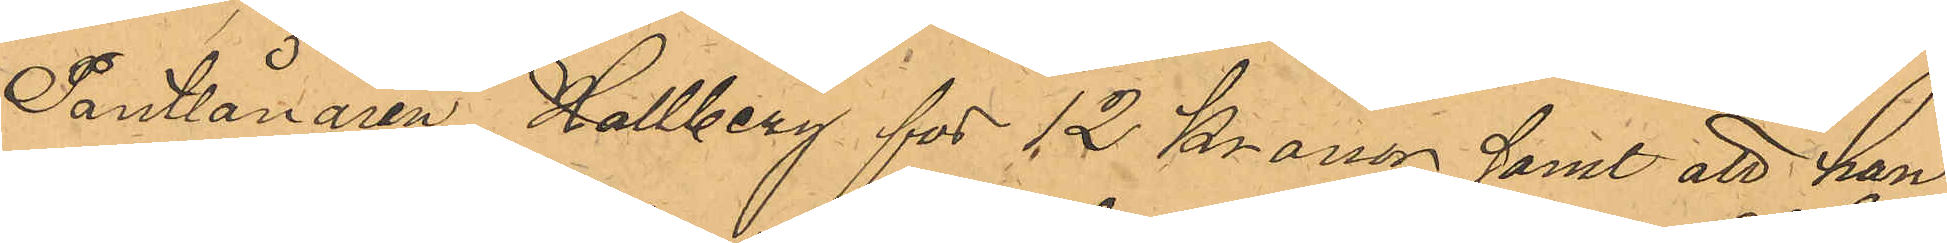Pantlånaren Hallberg för 12 Kronor samt att han
